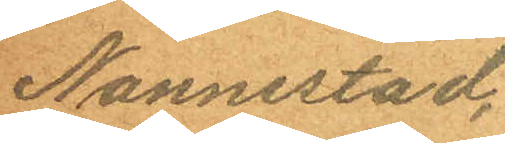Nannestad.
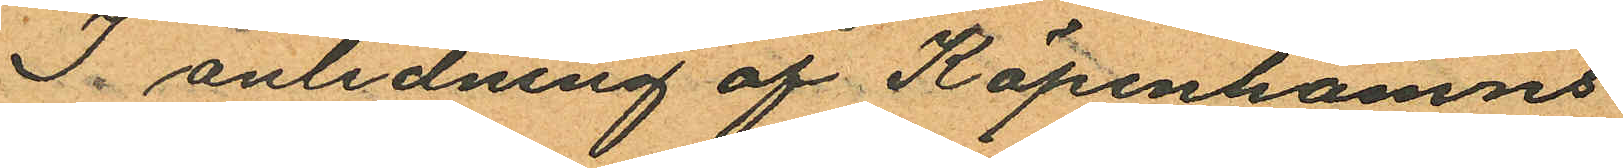I anledning af Köpenhamns
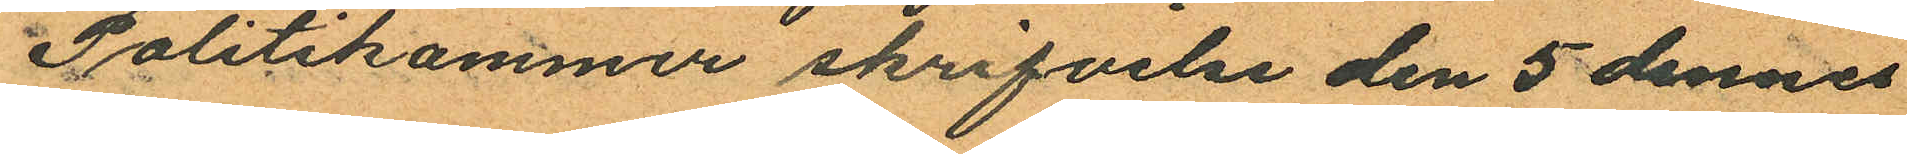Politikammer skrifvelse den 5 dennes
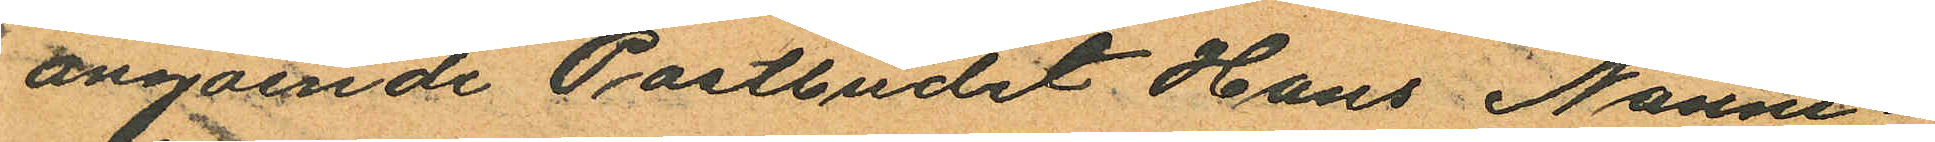angående Postbudet Hans Nanne¬
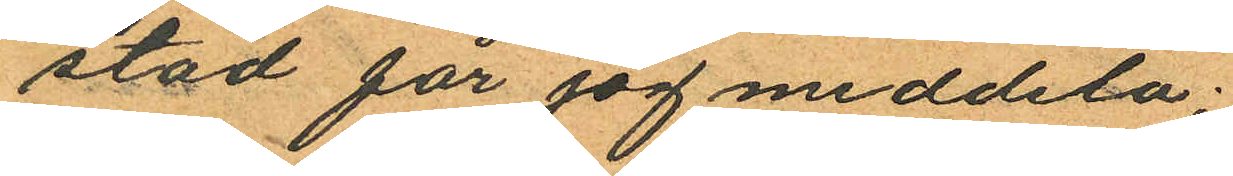stad får jag meddela:
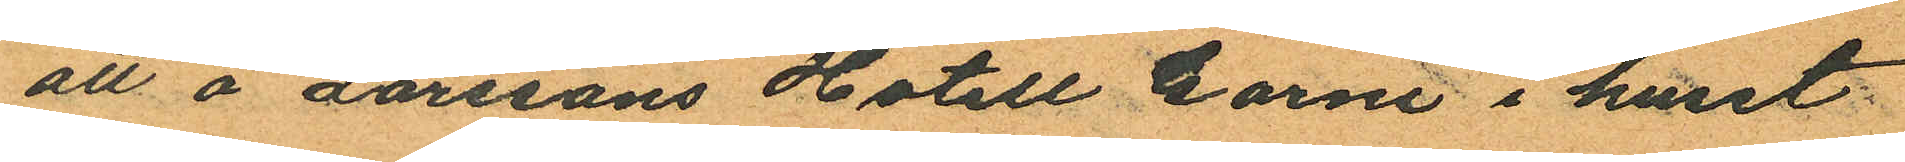att å Larssons Hotell Garni i huset
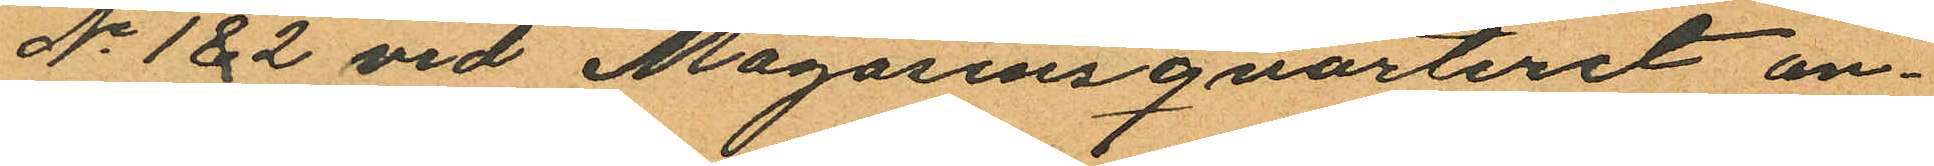No 122 vid Magasinsqvarteret an¬
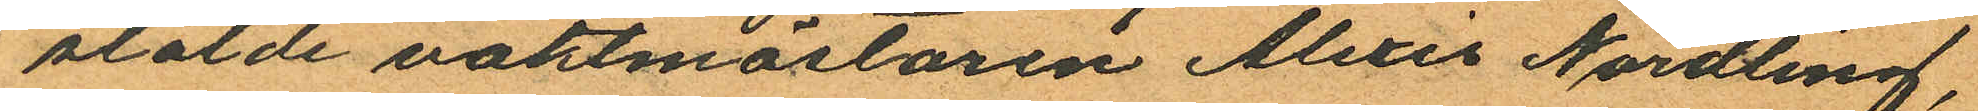stälde vaktmästaren Alexis Nordling,
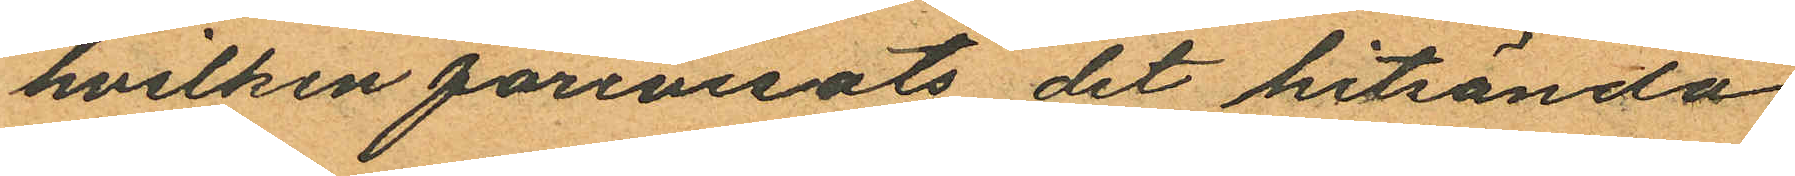hvilken förevisats det hitsända
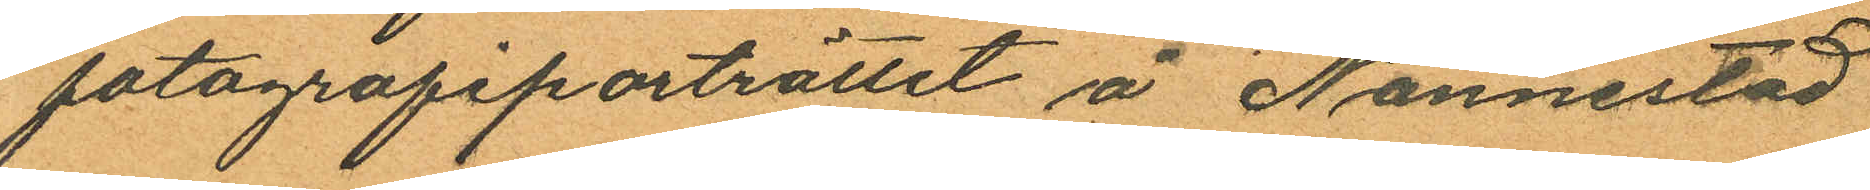fotografiporträttet å Nannestad
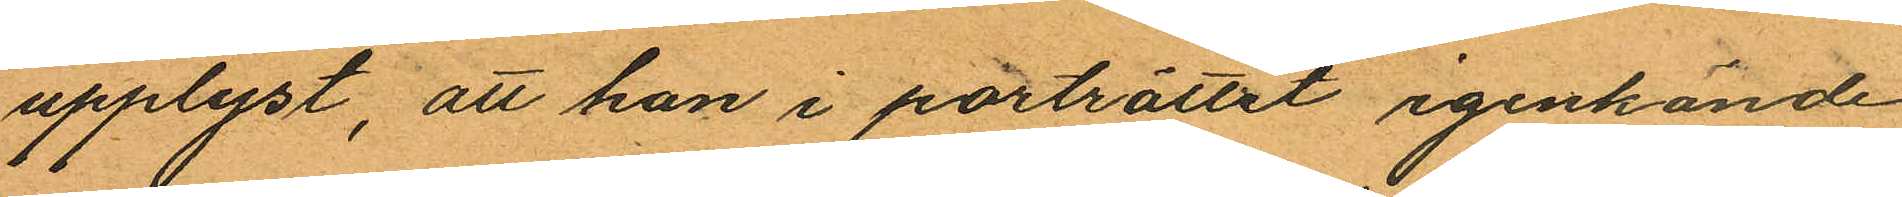upplyst, att han i porträttet igenkände
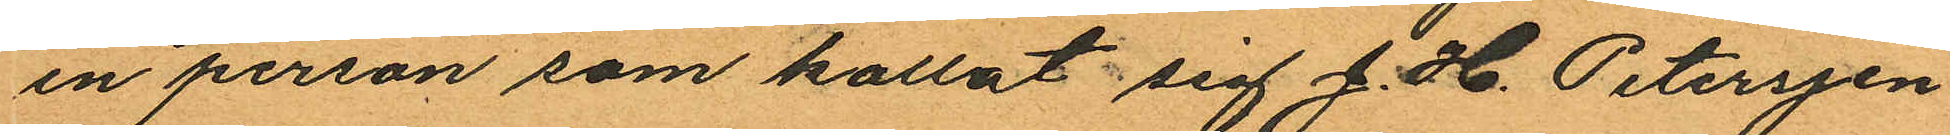en person som kallat sig J. H. Peterssen
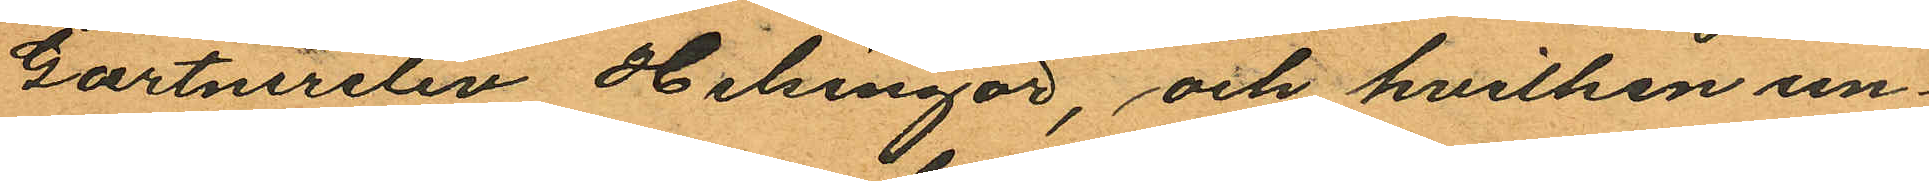Gartnerslev Helsingör, och hvilken un¬
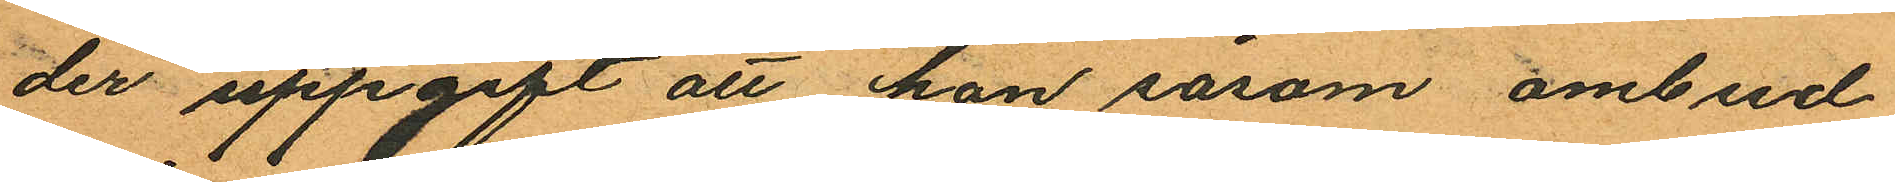der uppgift att han såsom ombud
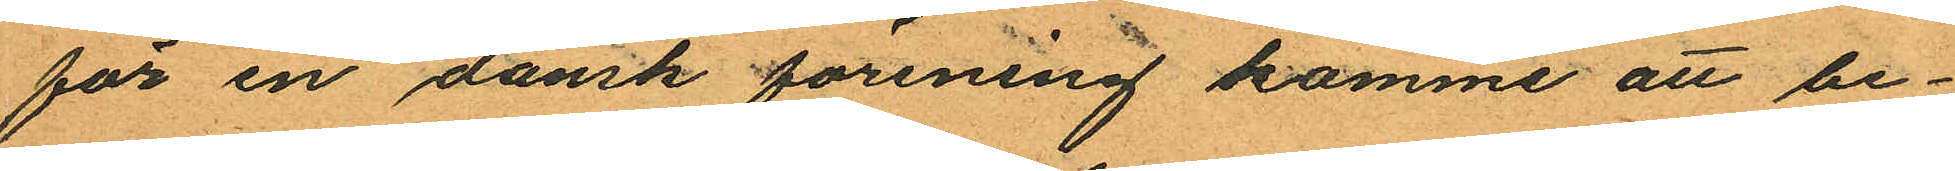för en dansk förening komme att be¬
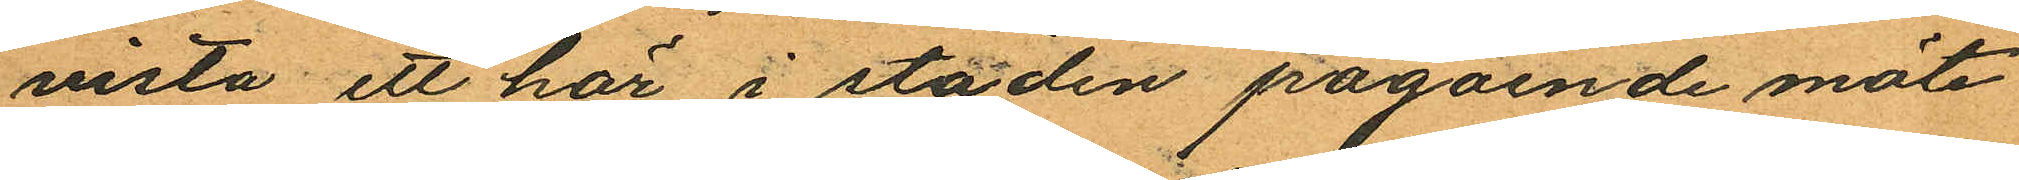vista ett här i staden pågående möte
